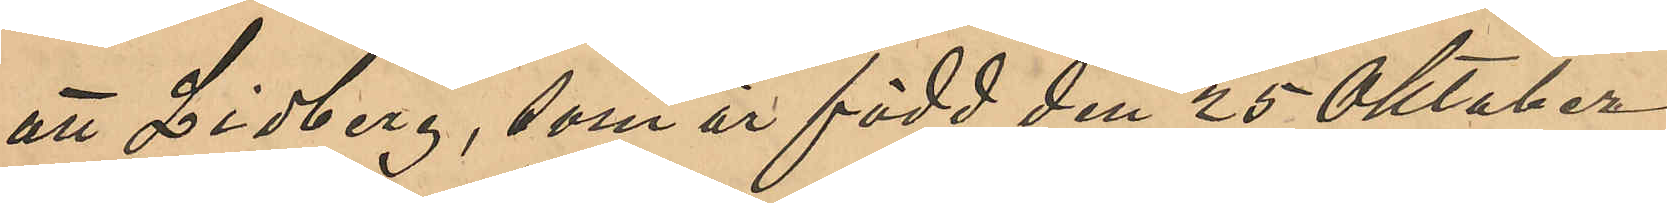att Lidberg, som är född den 25 Oktober
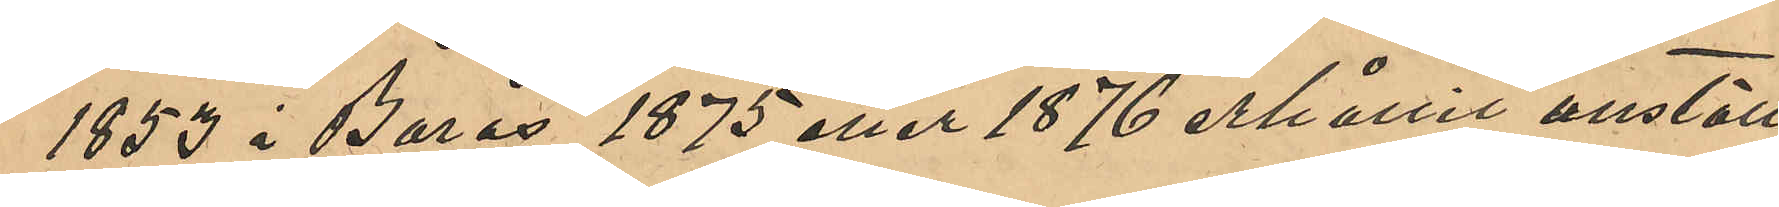1853 i Borås, 1875 eller 1876 erhållit anställ¬
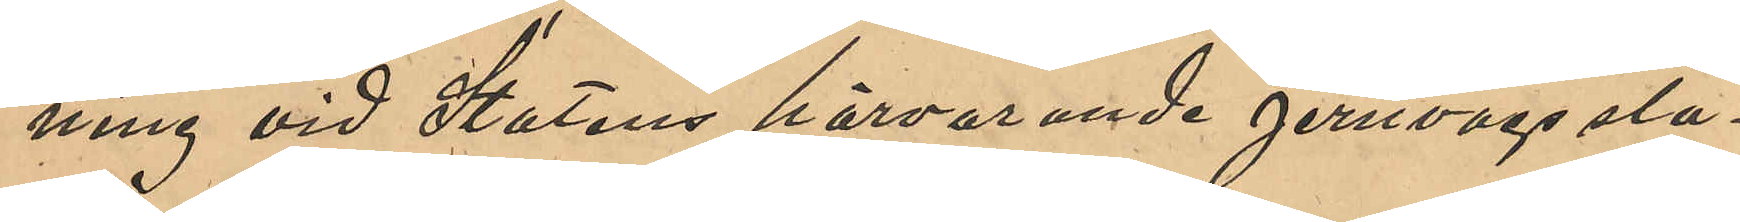ning vid Statens härvarande jernvägssta¬
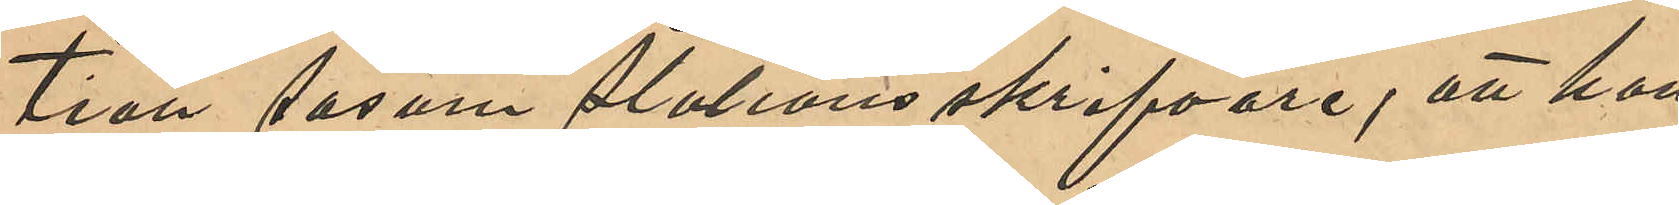tion såsom Stationsskrifvare; att han
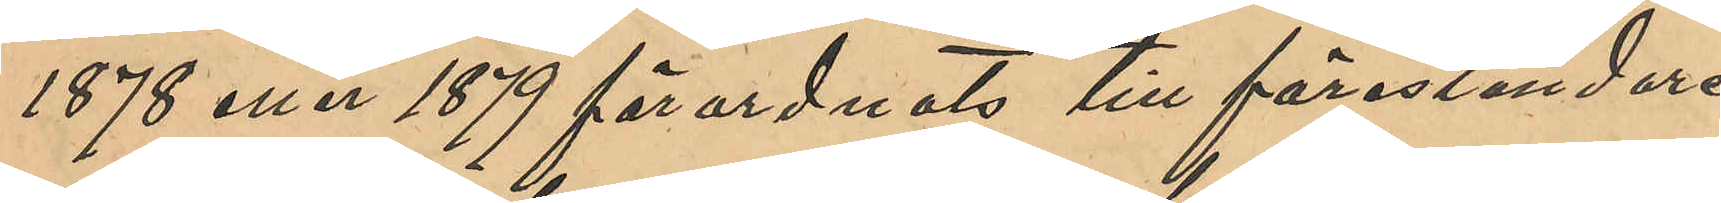1878 eller 1879 förordnats till föreståndare
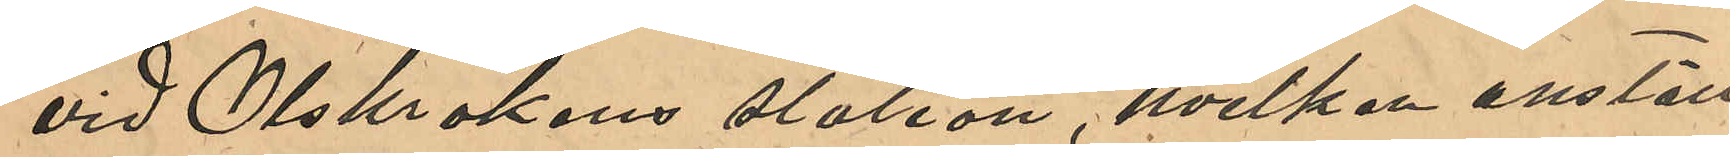vid Olskrokens station, hvilken anställ¬
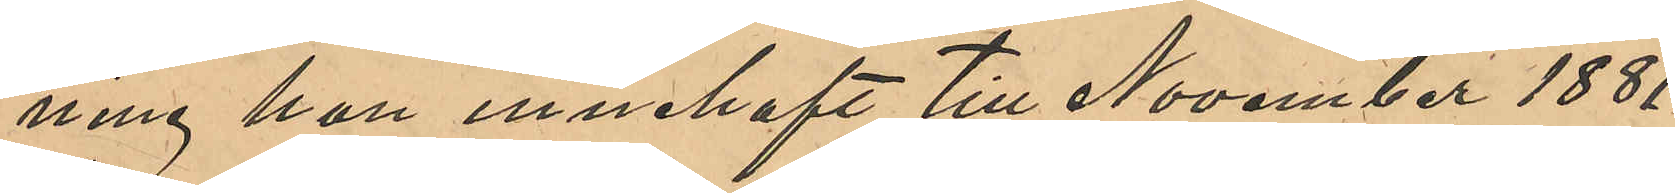ning han innehaft till November 1881
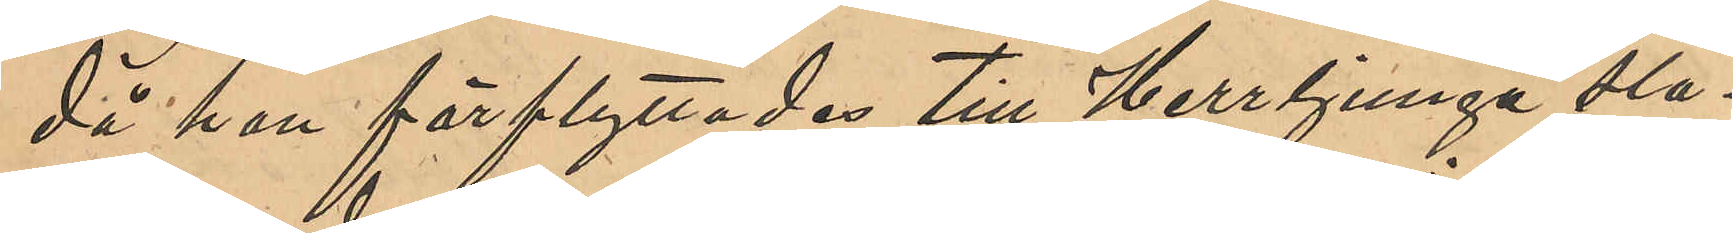då han förflyttades till Herrljunga sta¬
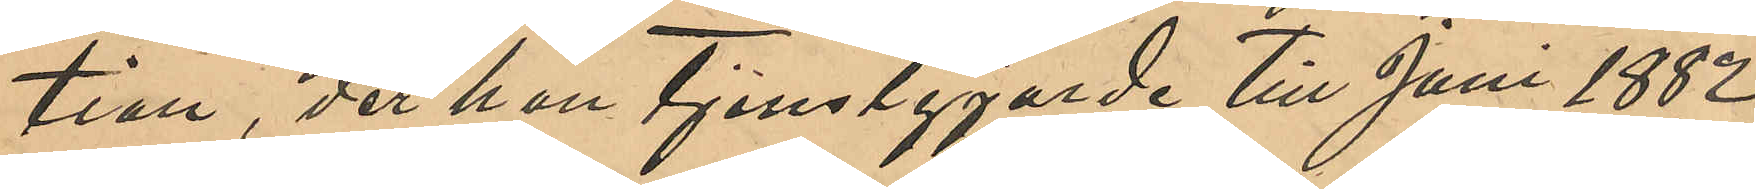tion, der han tjenstgjorde till Juni 1882,
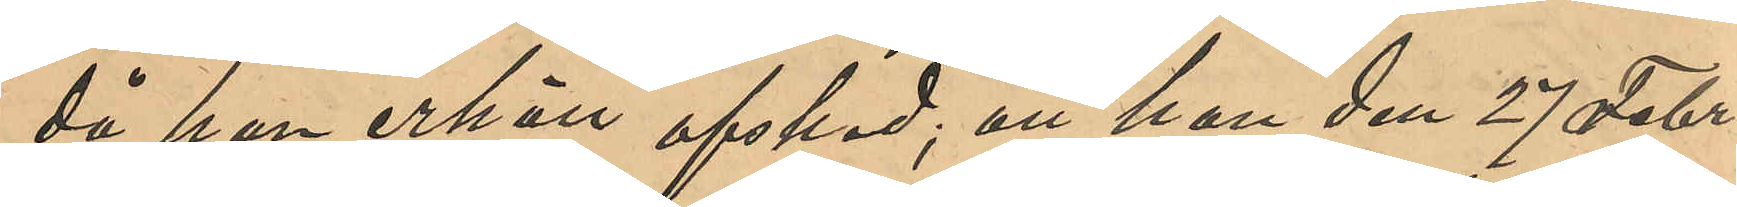då han erhöll afsked; att han den 27 Febr.
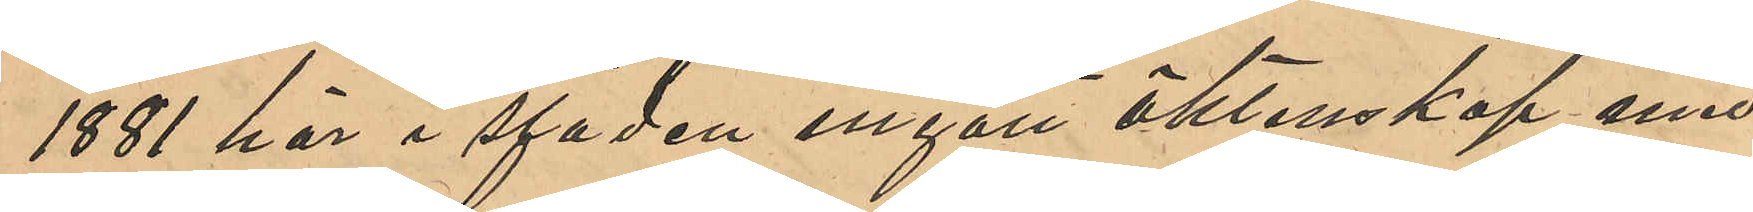1881 här i staden ingått äktenskap med
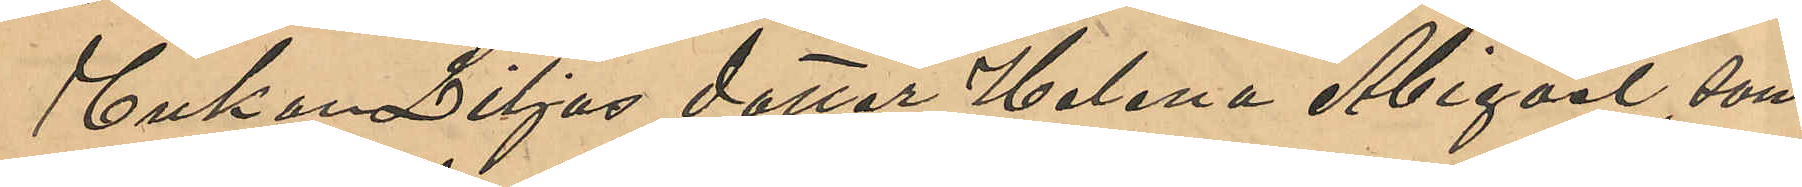Enkan Liljas dotter Helena Abigael, som
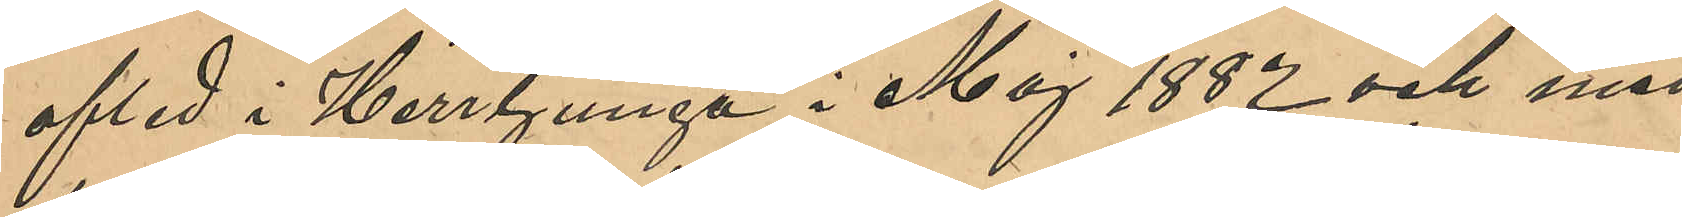afled i Herrljunga i Maj 1882 och med
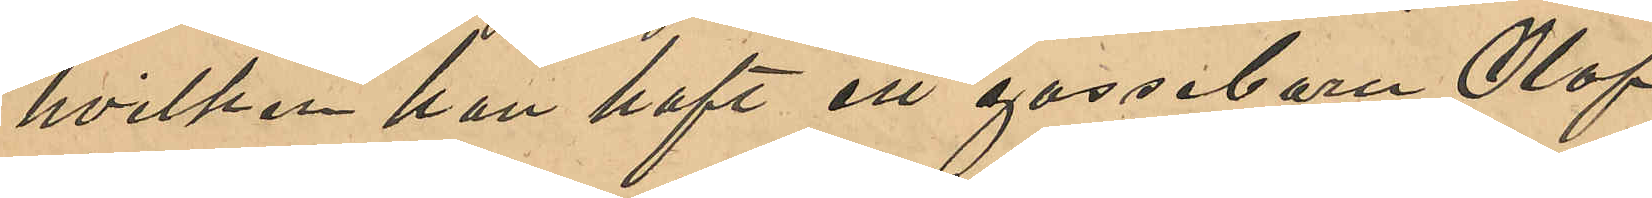hvilken han haft ett gossebarn Olof
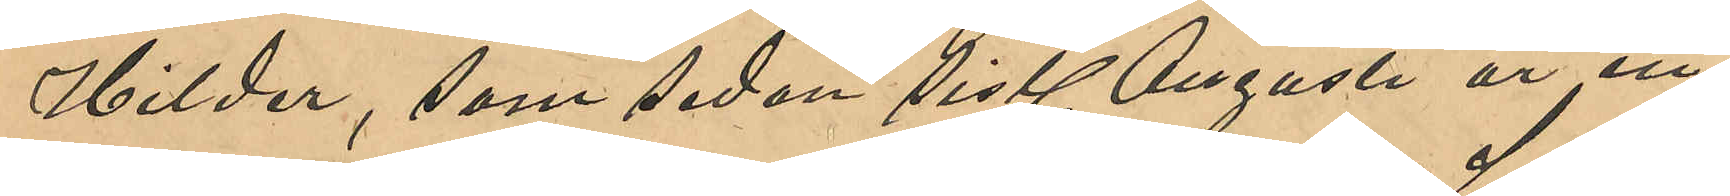Hilder, som sedan sistl Augusti är in¬
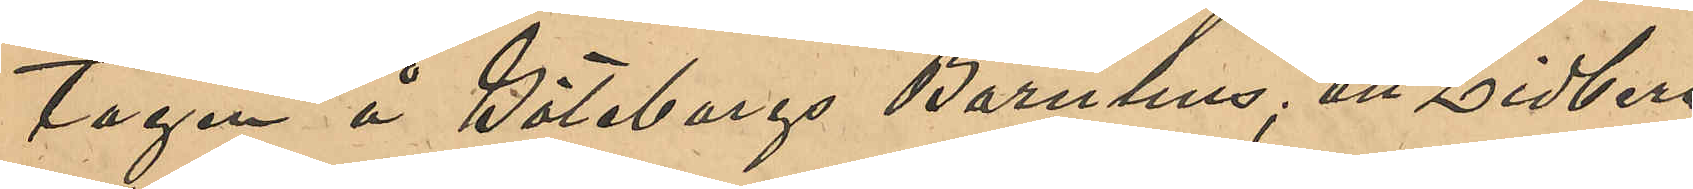tagen å Göteborgs Barnhus; att Lidberg
